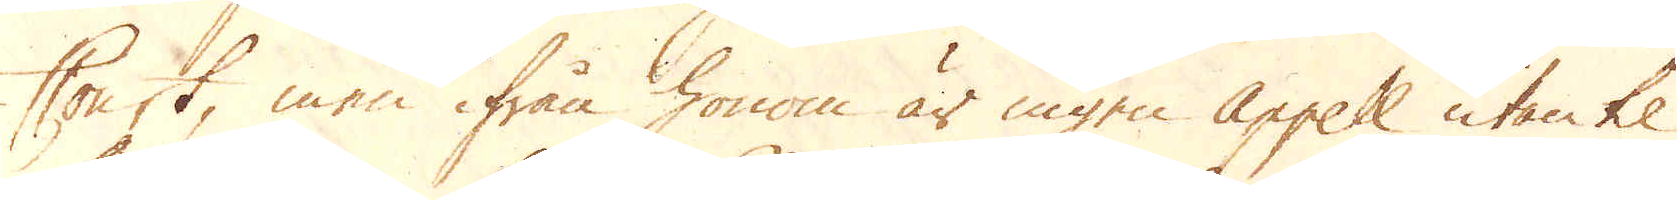Court, men ifrån honom är ingen Appel utan til
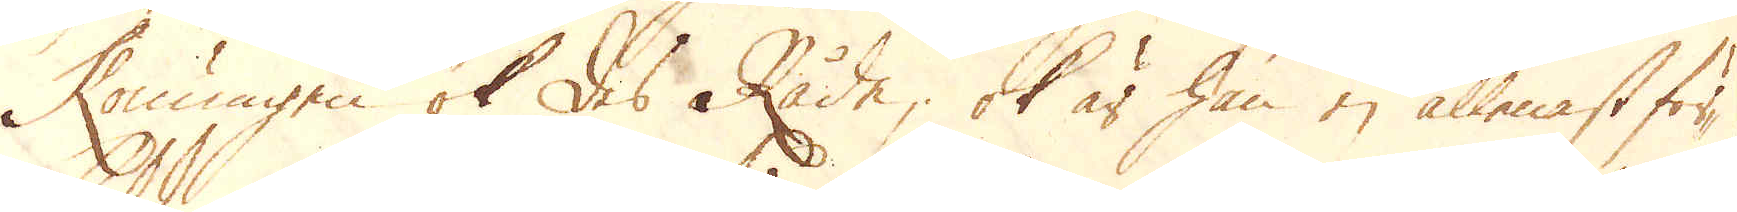Konungen ok des Råde; ok är han ej allenast för-
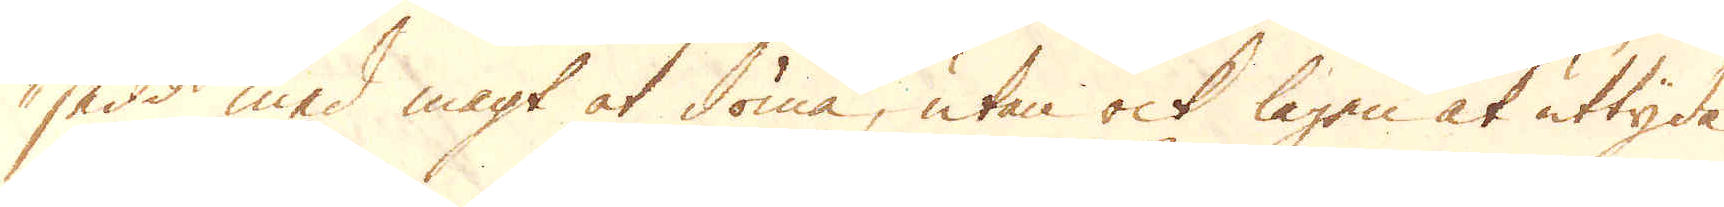sedd med magt at döma, utan ock lagen at uttyda
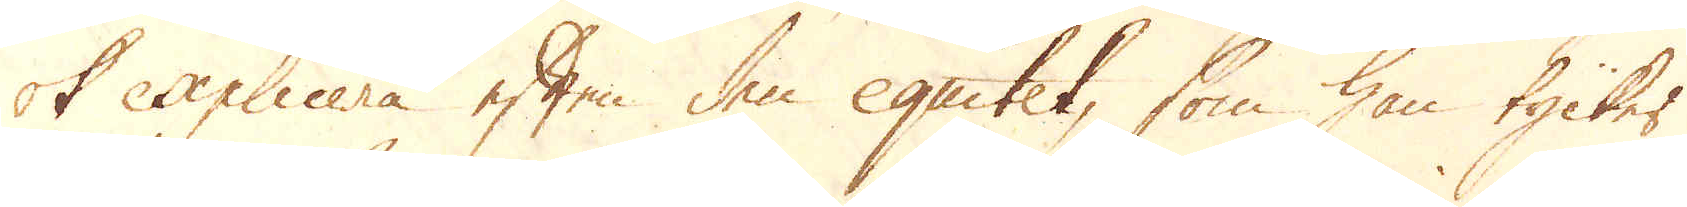ok explicera eften den equitet, som han tycker
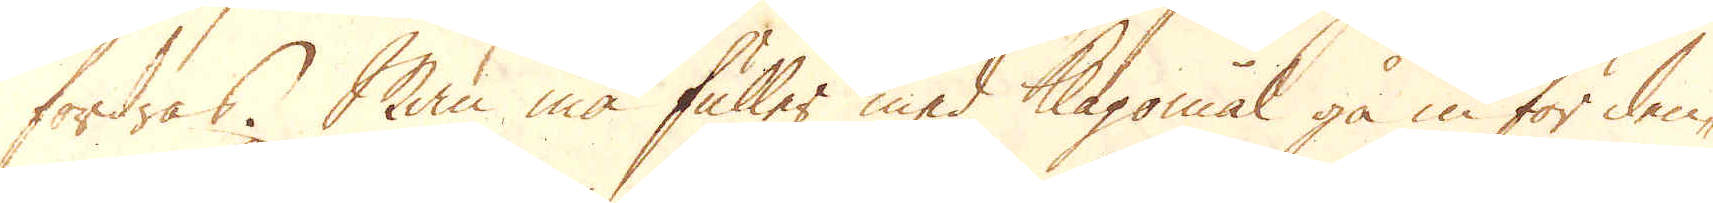fordras. Man må fuller med Klagommal gå in för den-
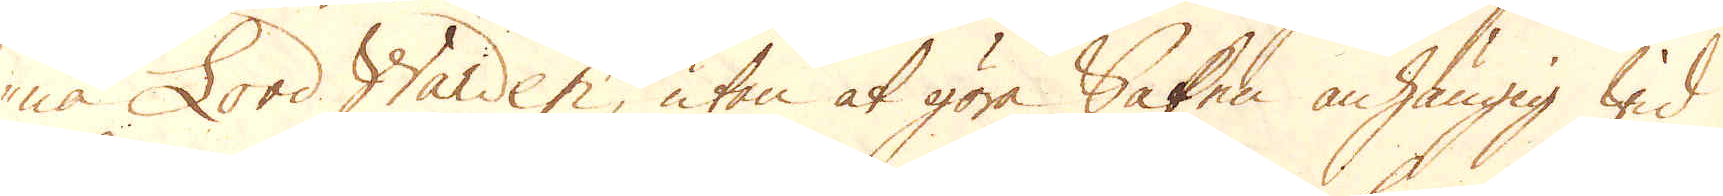na Lord Warden, utan at göra Saken anhängig wid
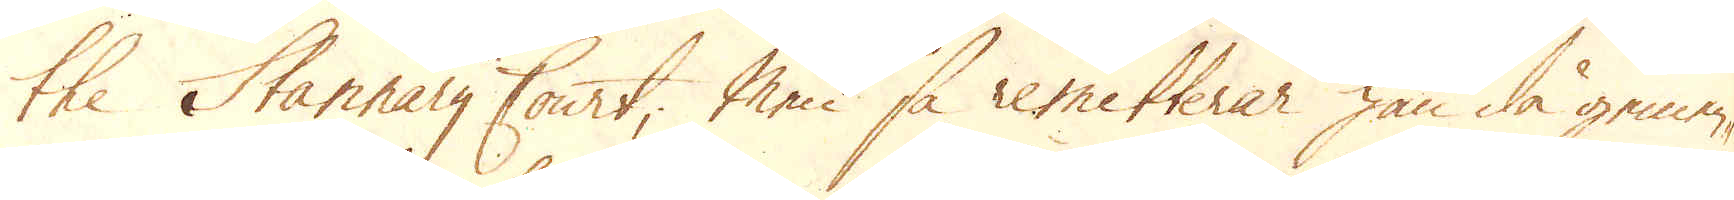the Stannary Court; Men så remitterar han då gemen-
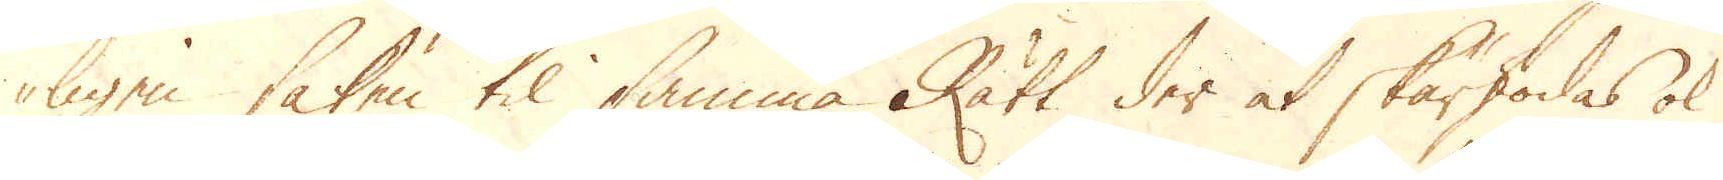ligen saken til samma Rätt der at skärskodas ok
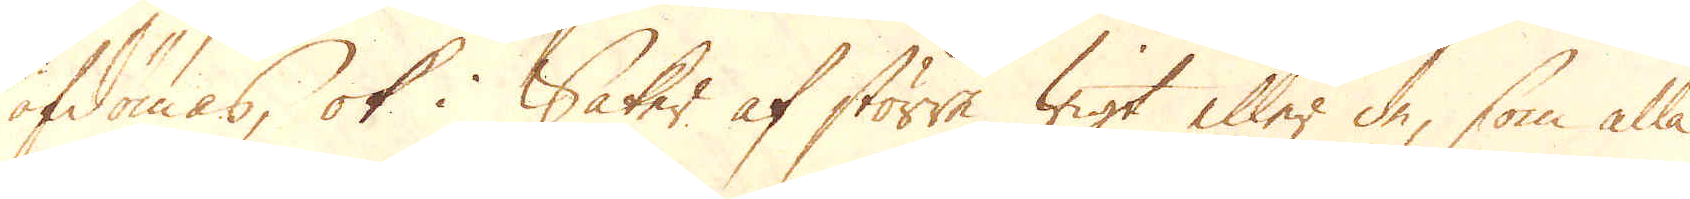afdömas, ok i Saker af större wigt eller de, som alla
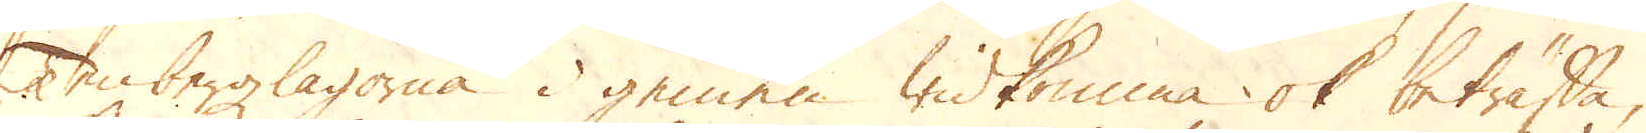Tenbergzlagorna i gemen widkomma ok beträffa,
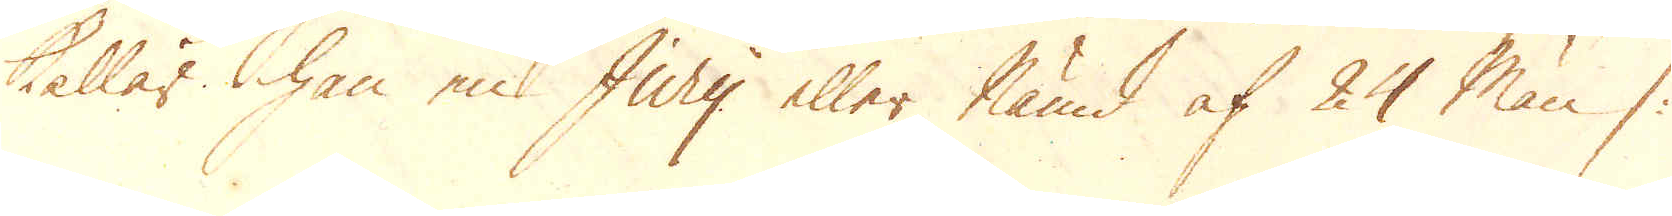kallar han en Jury eller Nämd af 24 Män /:
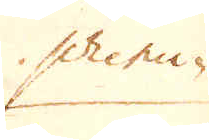princi-
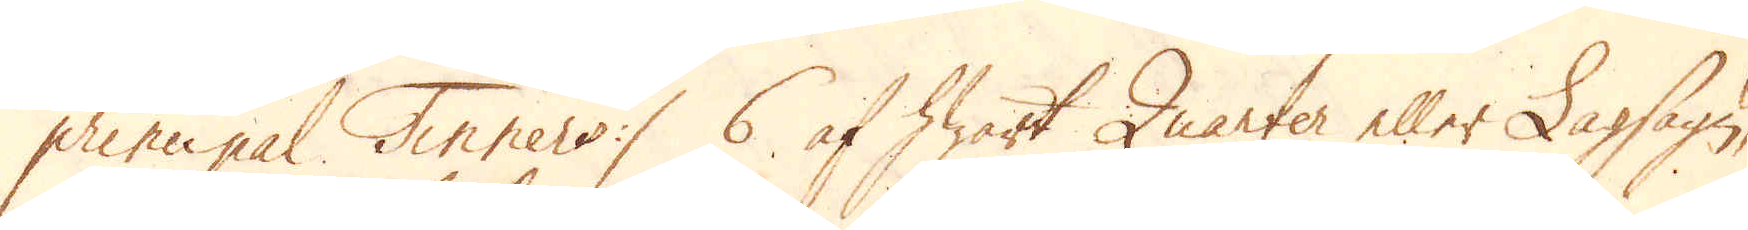principal Tinners:/ 6 af hwart Quarter eller Lagsägn,
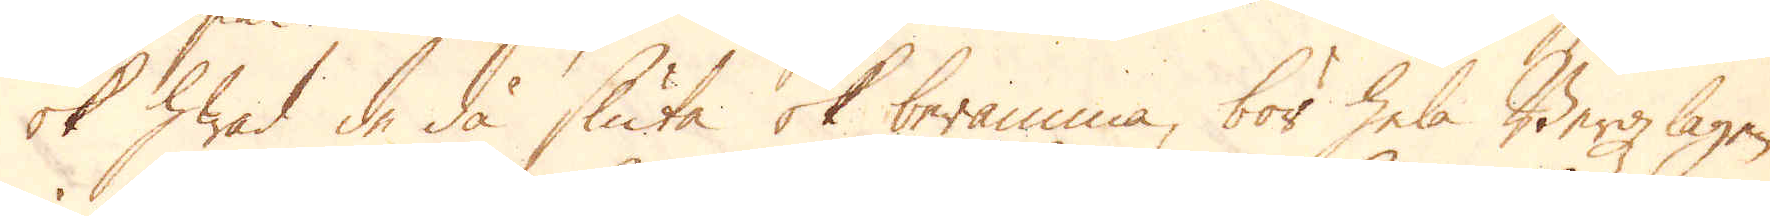ok hwad de då sluta ok beramma, bör hela Bergzlagen
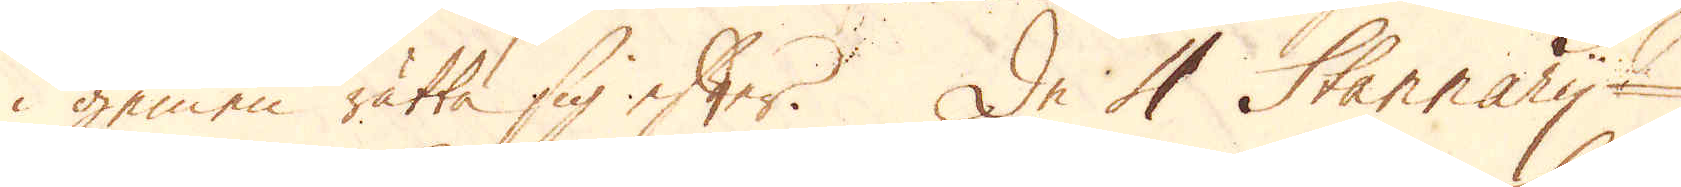i gemen rätta sig efter. De 4 Stannary-
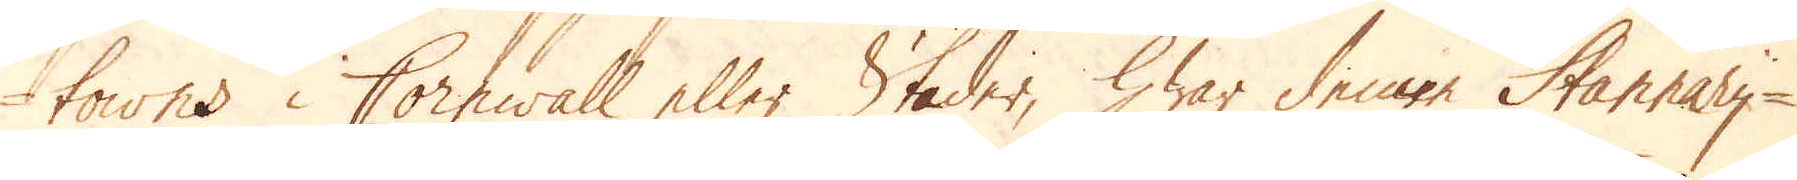towns i Cornwall eller Städer, hwar denne Stannary-
